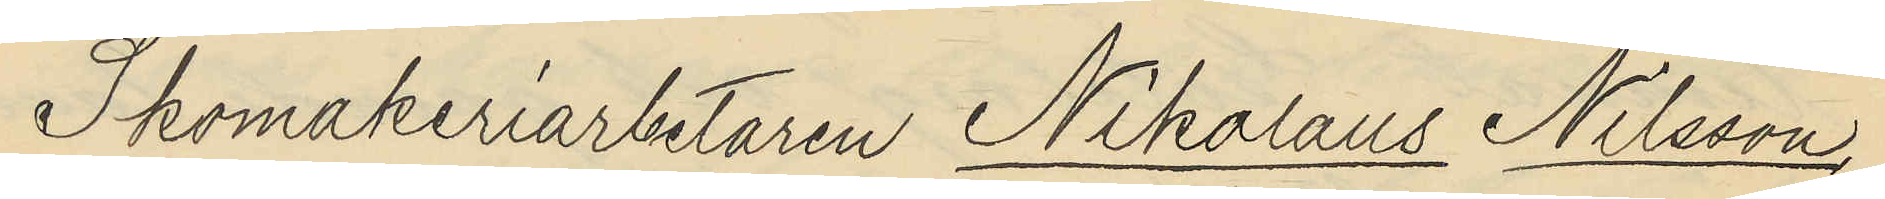Skomakeriarbetaren Nikolaus Nilsson,
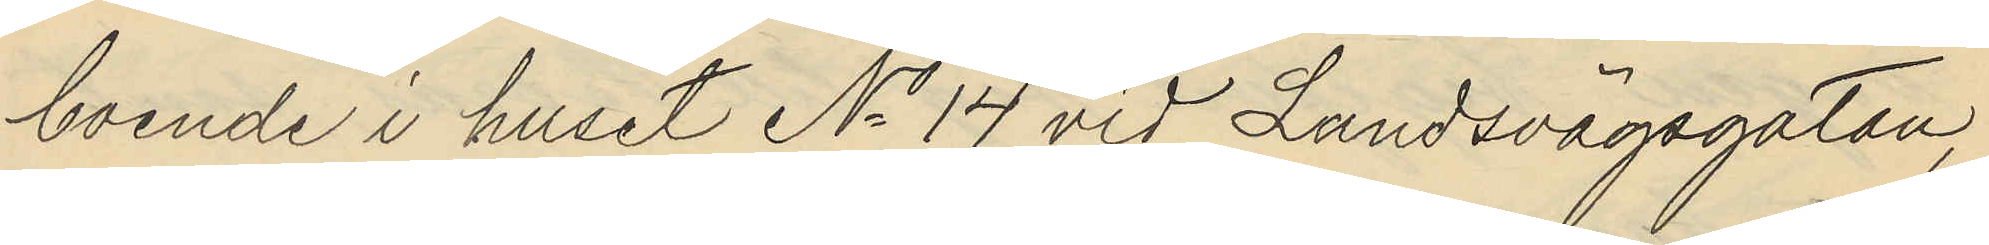boende i huset No 14 vid Landsvägsgatan,
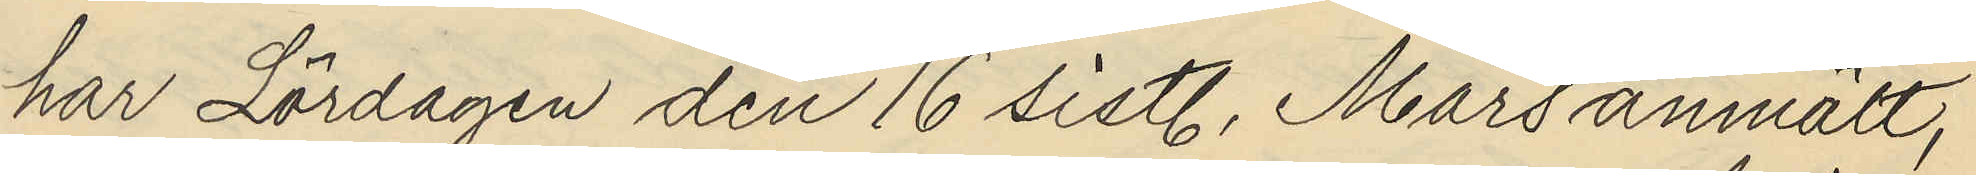har Lördagen den 16 sistl. Mars anmält,
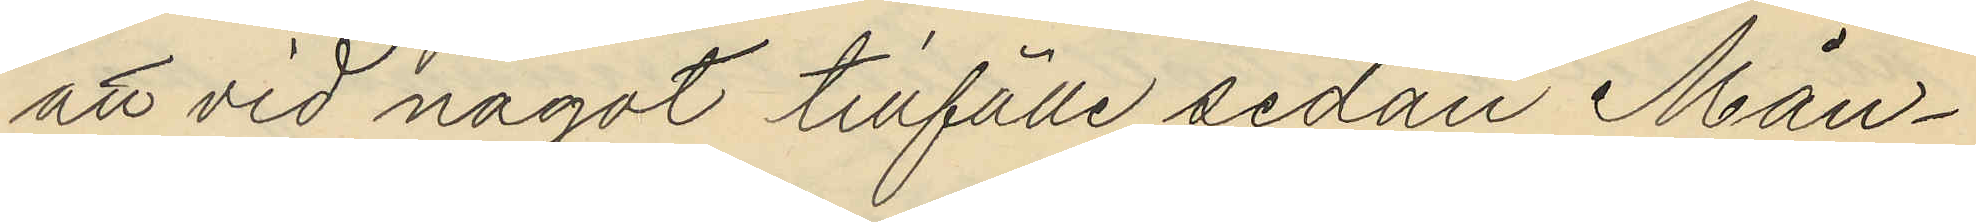att vid något tillfälle sedan Mån¬
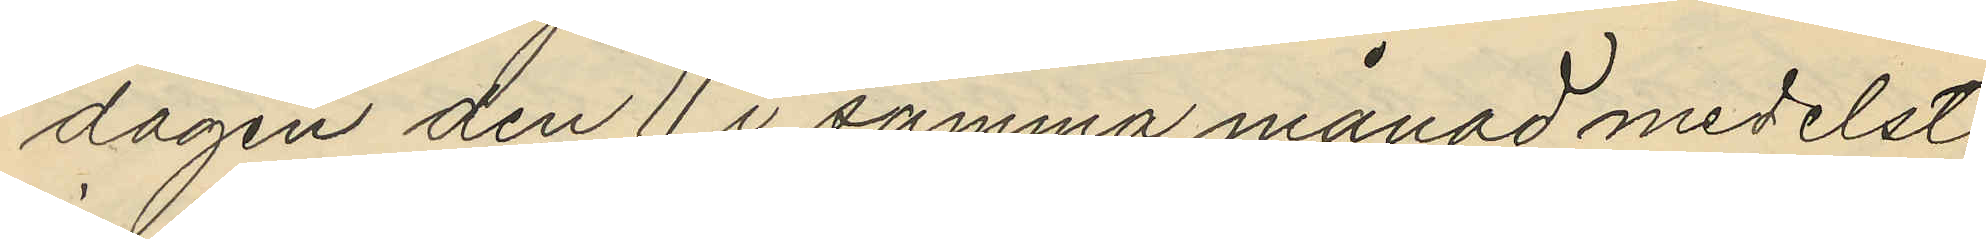dagen den 11 i samma månad medelst
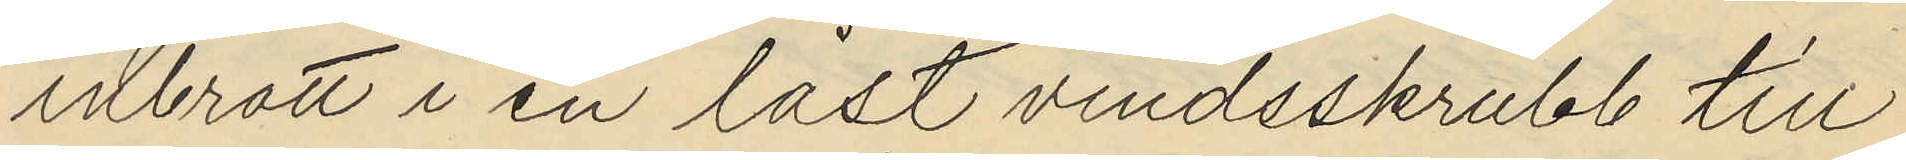inbrott i en låst vindsskrubb till
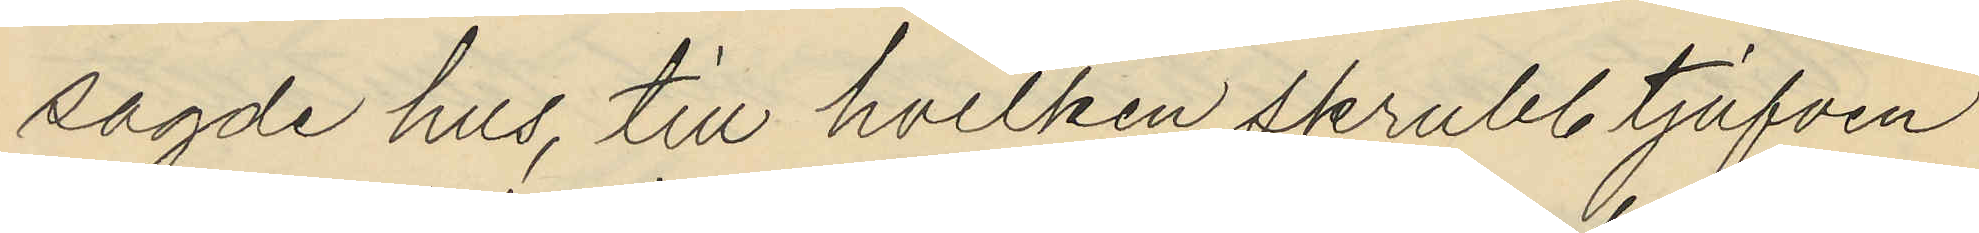sagde hus, till hvilken skrubb tjufven
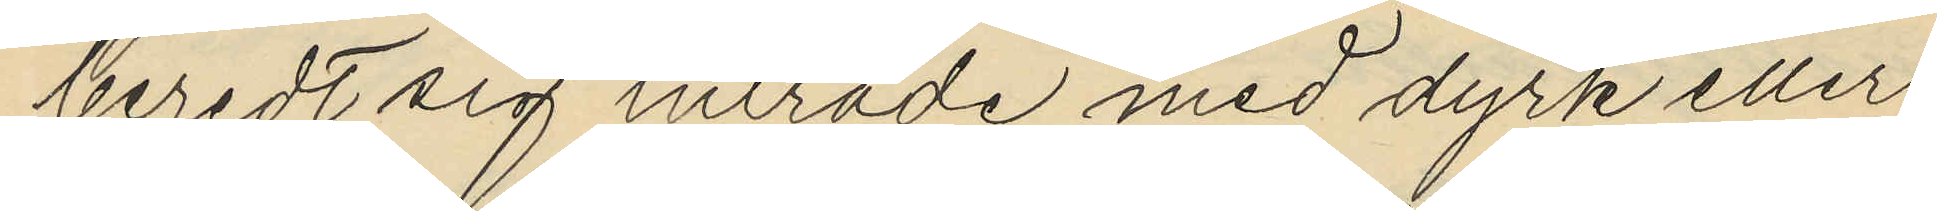beredt sig inträde med dyrk eller
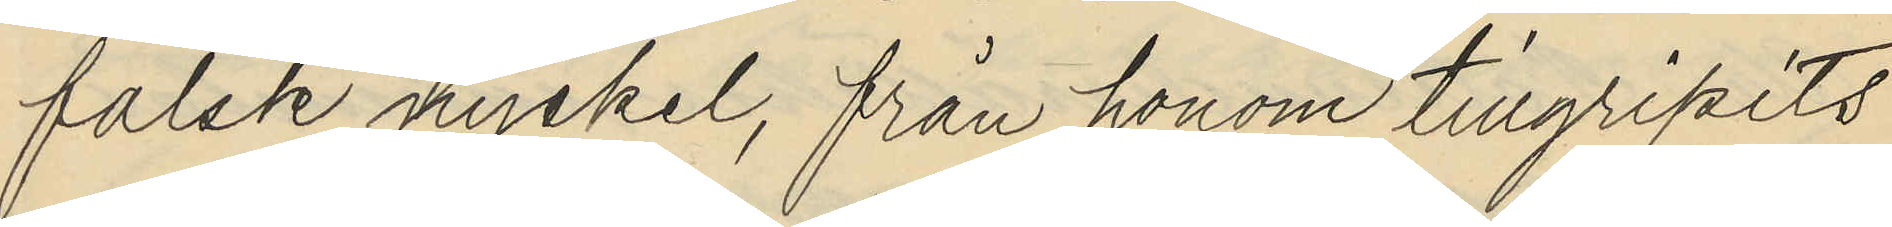falsk nyckel, från honom tillgripits
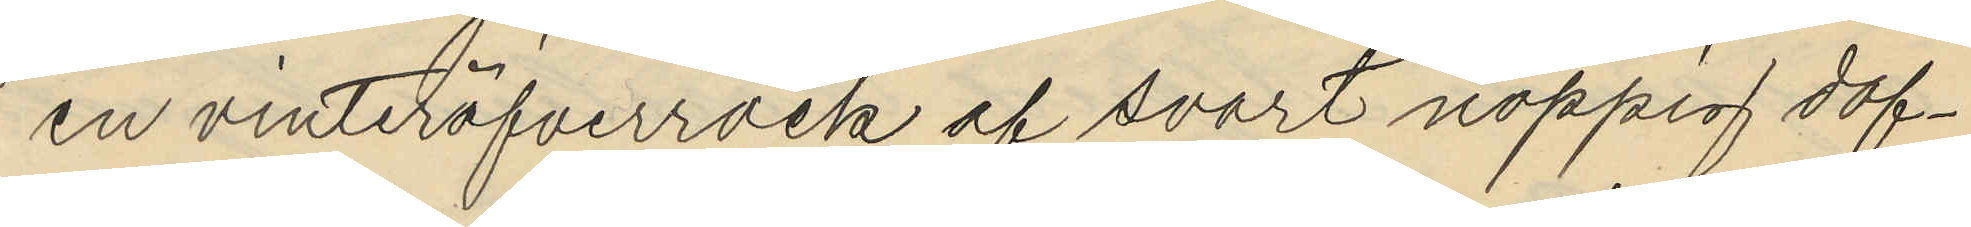en vinteröfverrock af svart noppig dof¬
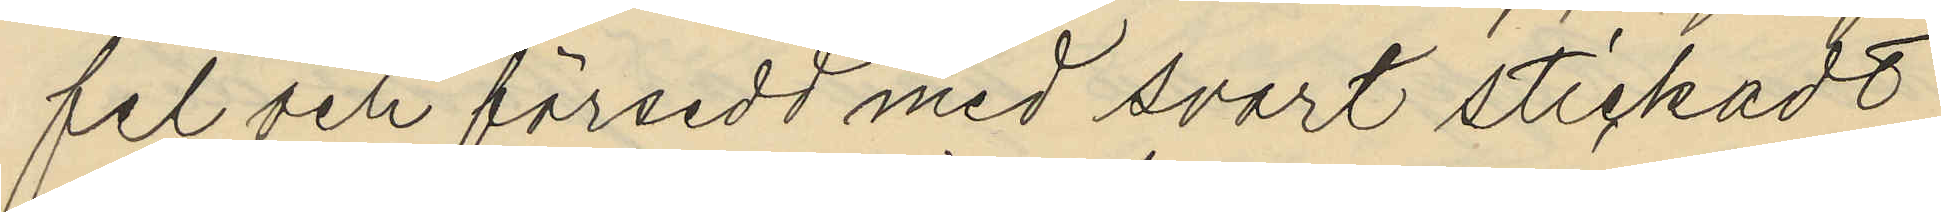fel och försedd med svart stickadt
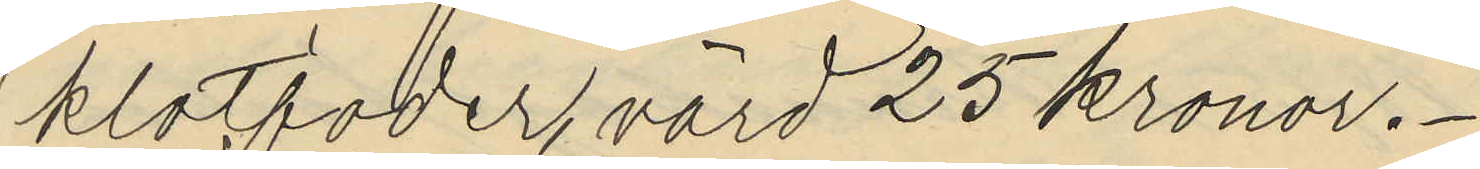klotfoder, värd 25 Kronor.
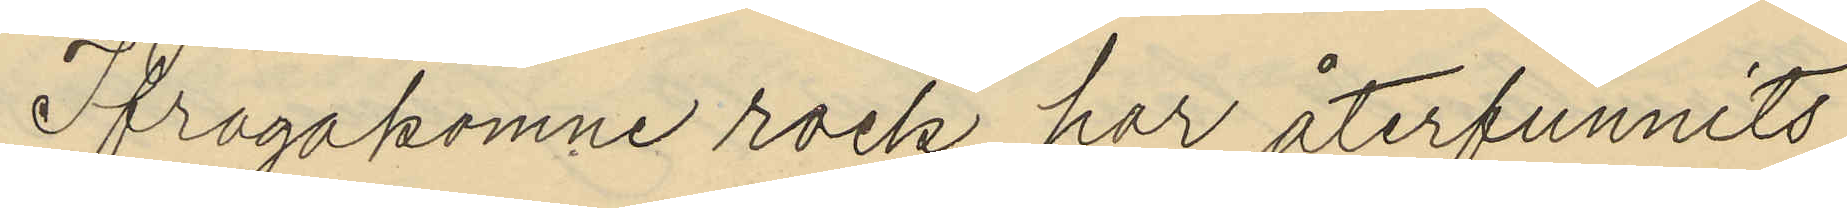Ifrågakomne rock har återfunnits
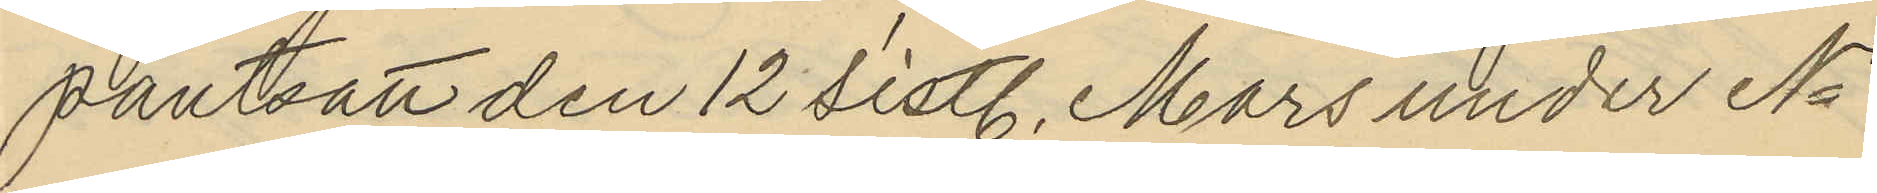pantsatt den 12 sistl. Mars under No
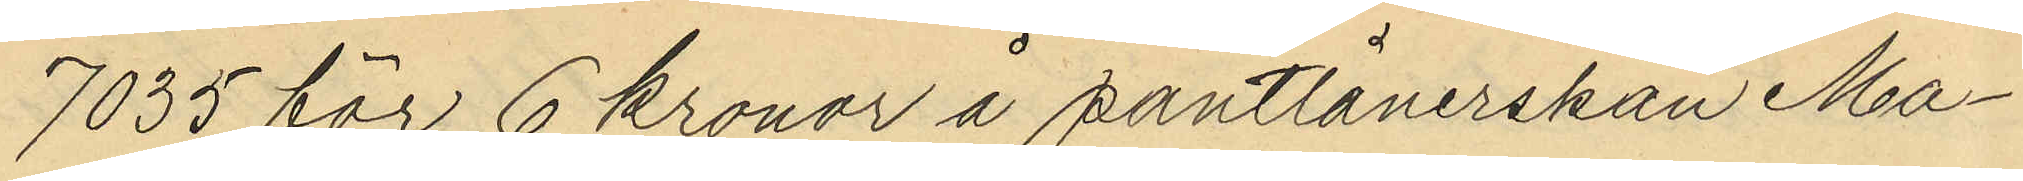7035 för 6 kronor å pantlånerskan Ma¬
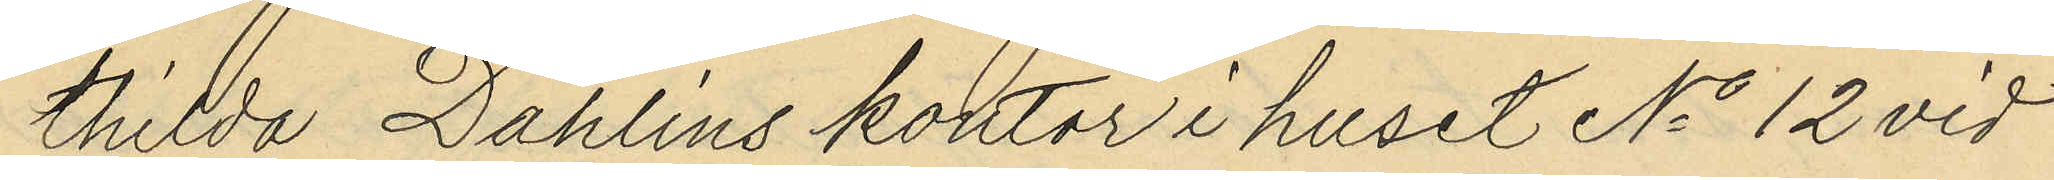thilda Dahlins kontor i huset No 12 vid
